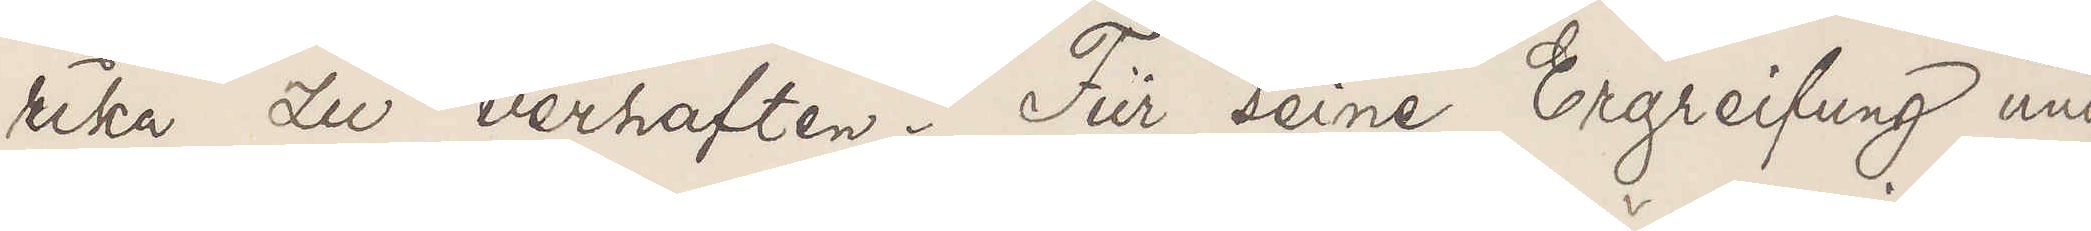rika zu verhaften. Für seine Ergreifung und
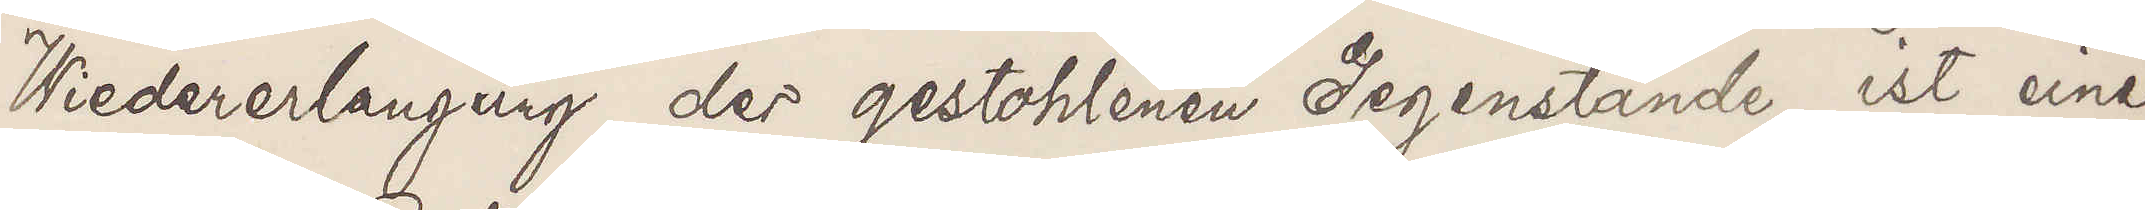Wiederlangeng der gestohlenen Gegenstände ist eine
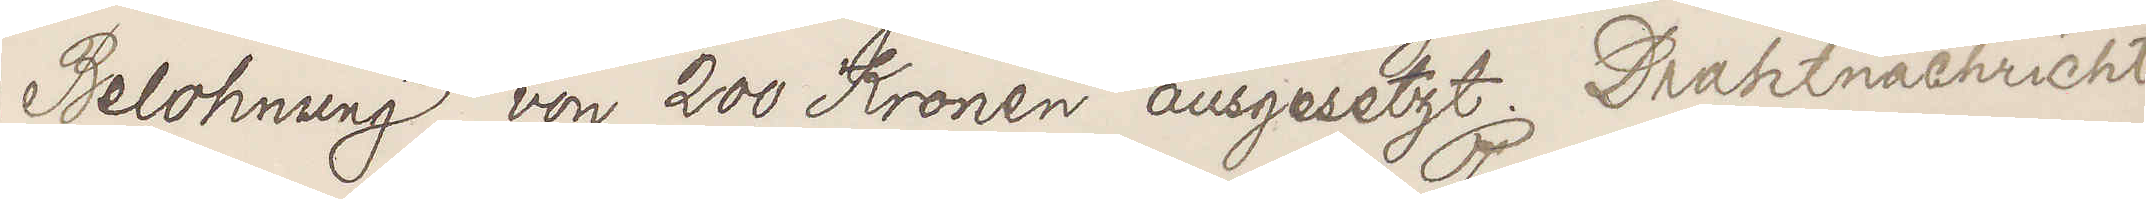Belohnung von 200 Kronen ausgesetzt. Drahtnachricht
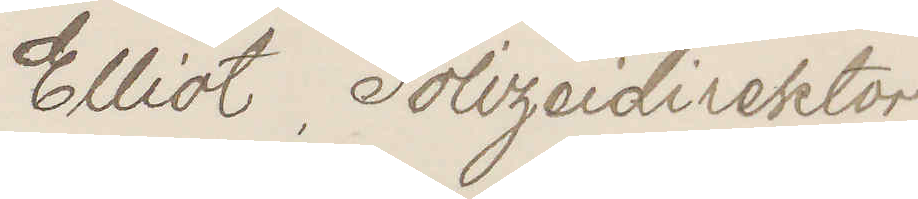Elliot Polizeidirektor
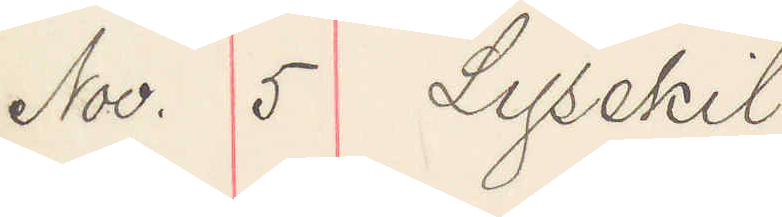Nov. 5 Lysekil
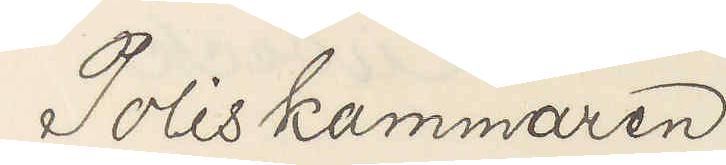Poliskammaren
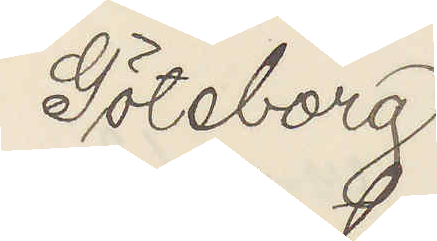Göteborg
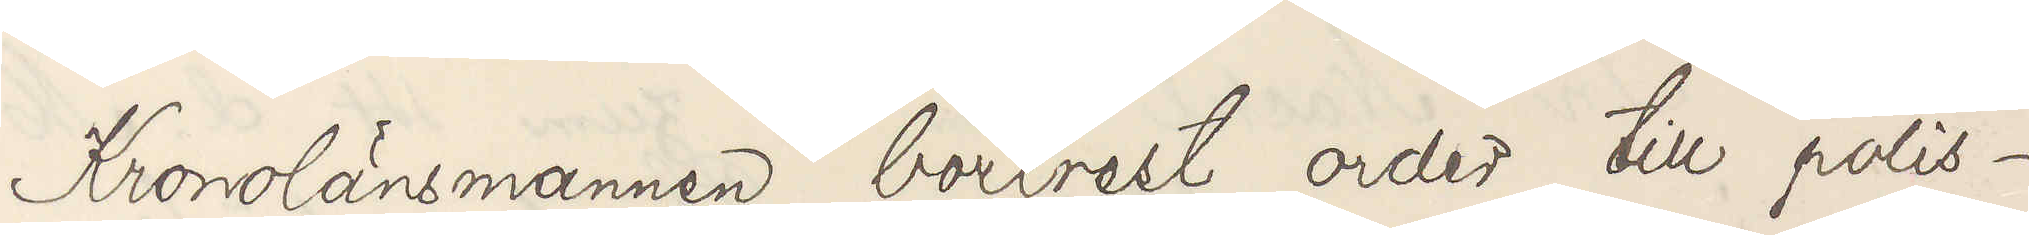Kronolänsmannen bortrest order till polis¬
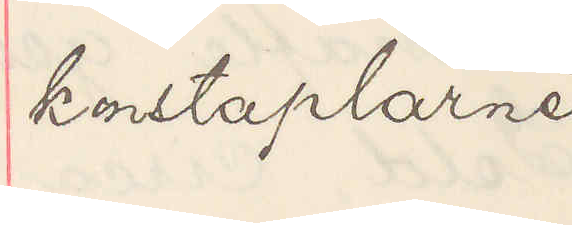konstaplarne
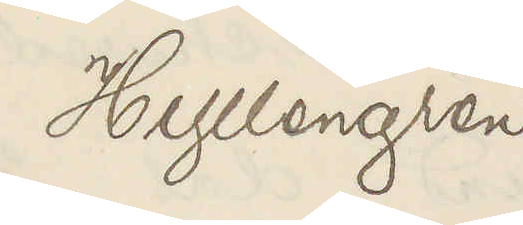Hyllengren
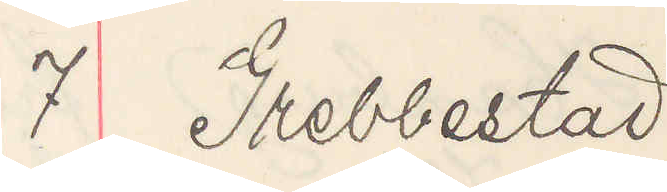7 Grebbestad
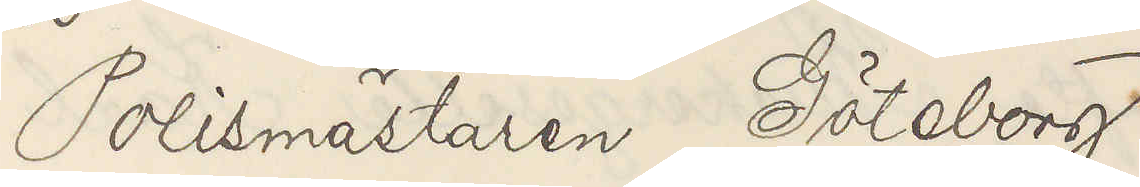Polismästaren Göteborg
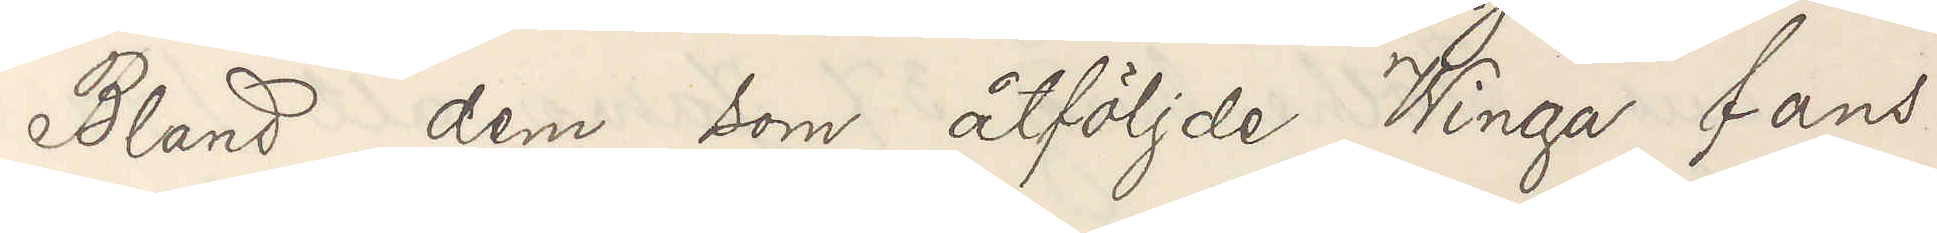Bland dem som åtföljde Winga fans
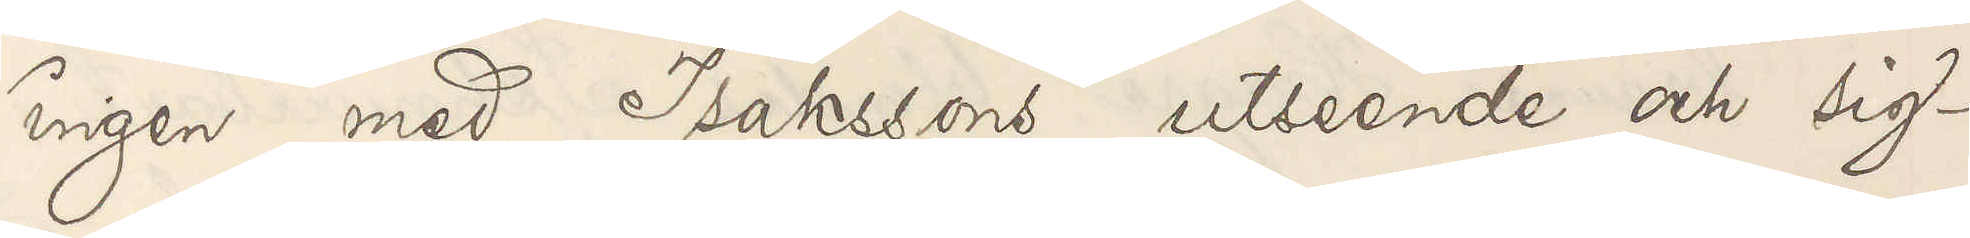ingen med Isakssons utseende och sig¬
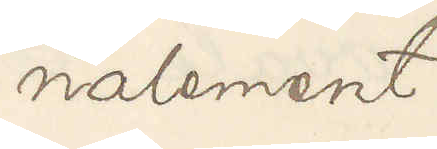nalement
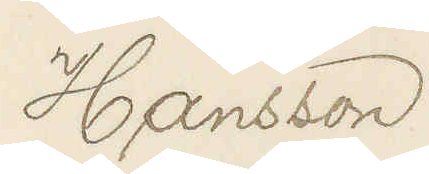Hansson
